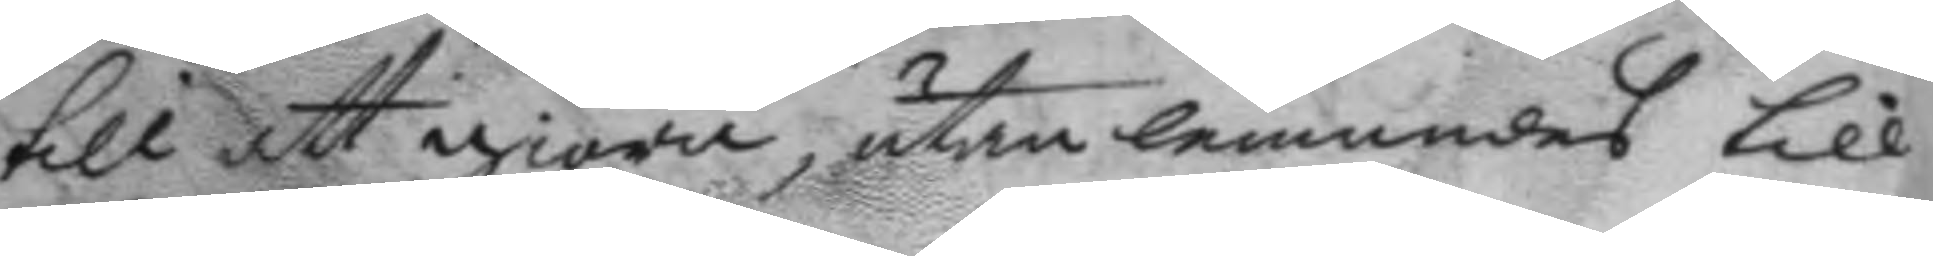till att giöra, utan lemnades till
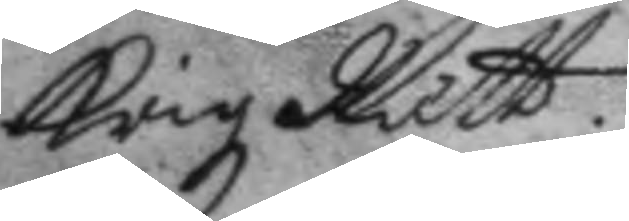KrigzRätt.
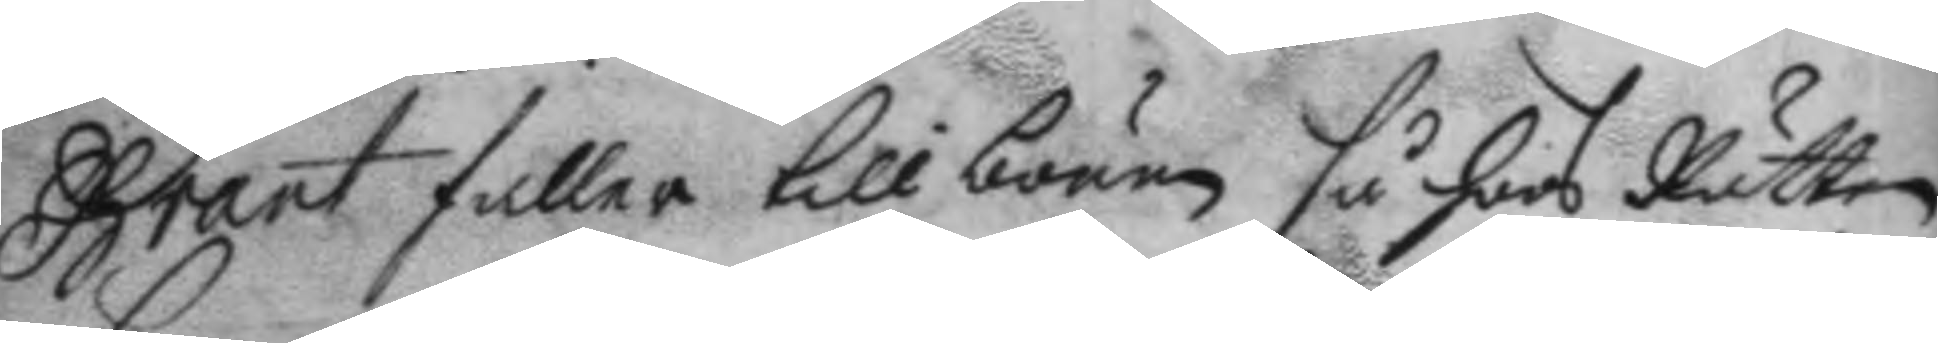Brant faller till bönen så hoos Rätten
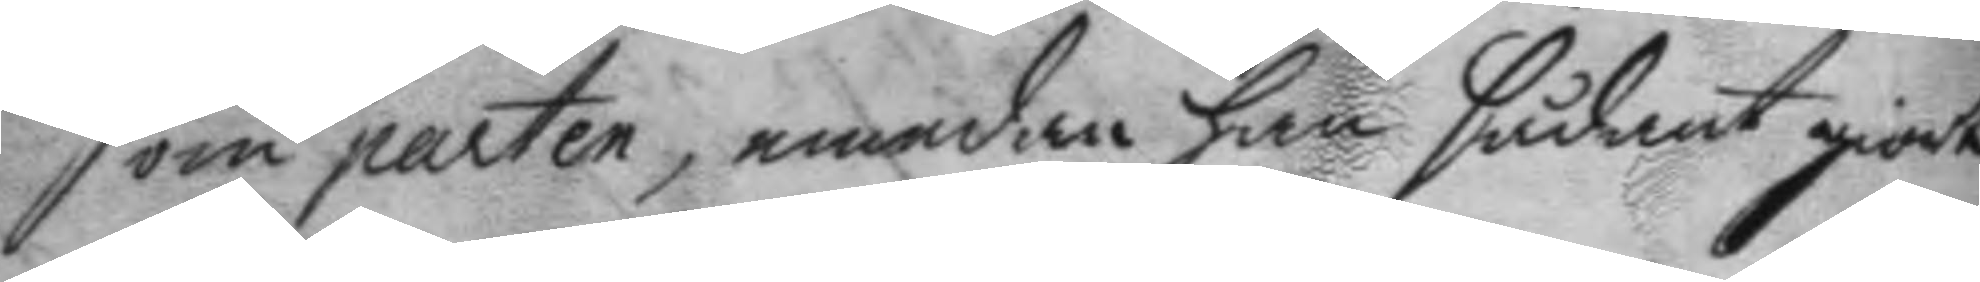som parten, emedan han sådant giorte
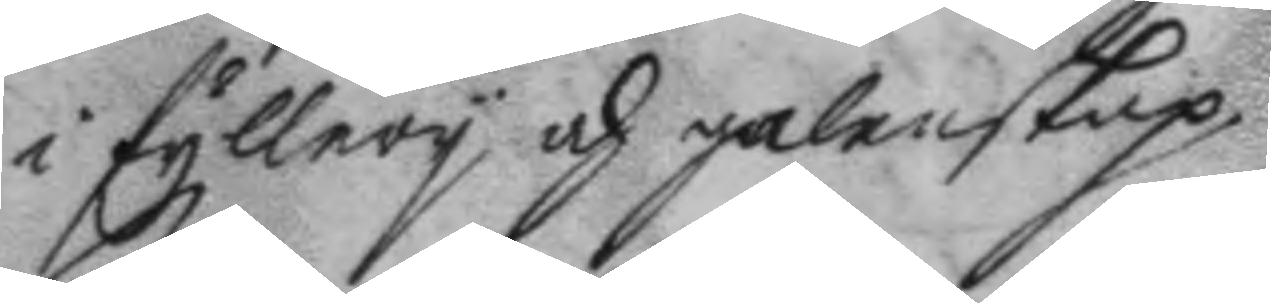i fyllery och galenskap.
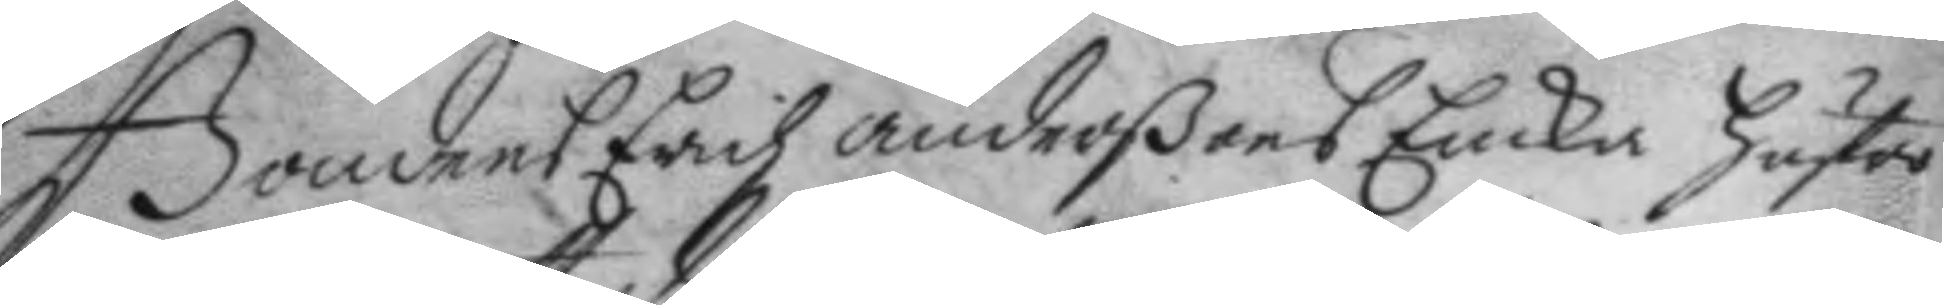Bondens Erich anderßons Encka hustro
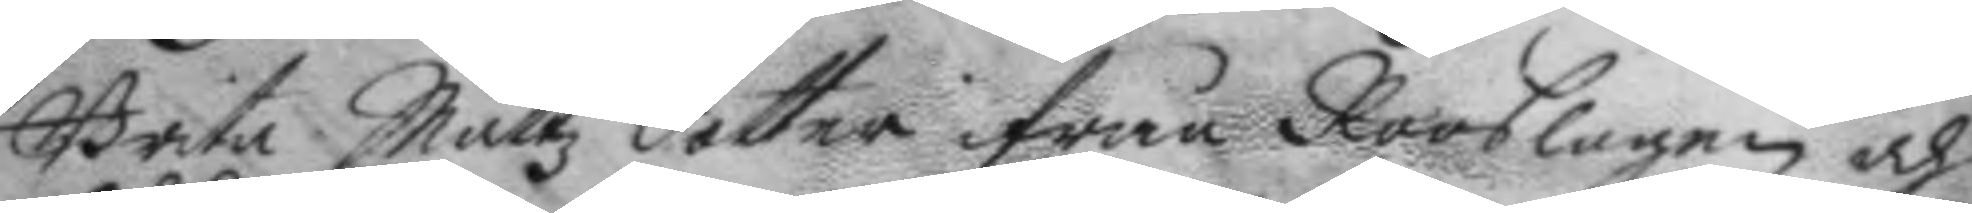Brita Mattz dotter ifrån Rooslagen och
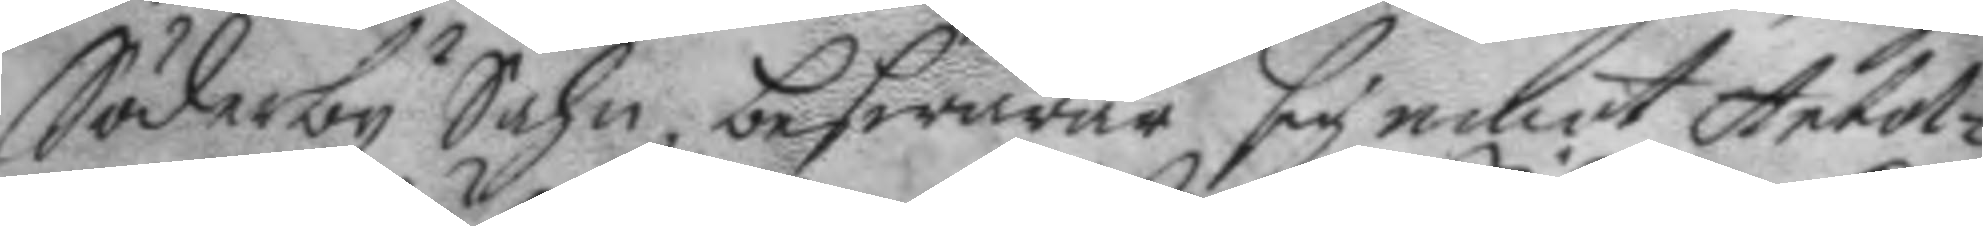Söderby Sochn, beswärar sig emot Artol¬
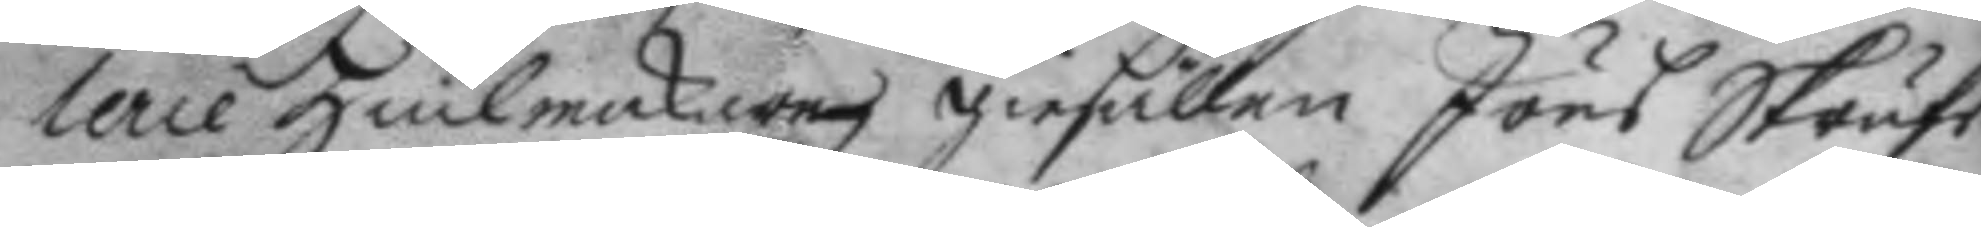lerie Hiulkackare giesällen Jöns Skrufs
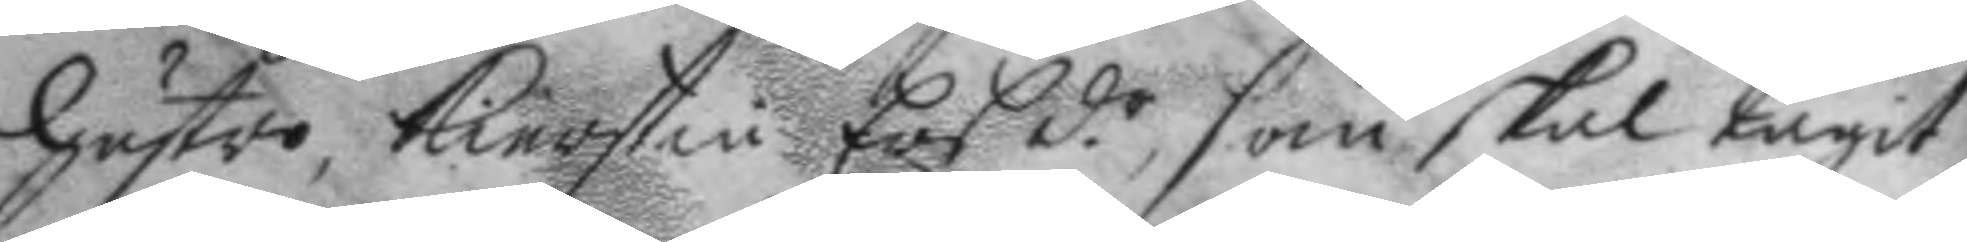hustro Kierstin Ers d.r som skal tagit
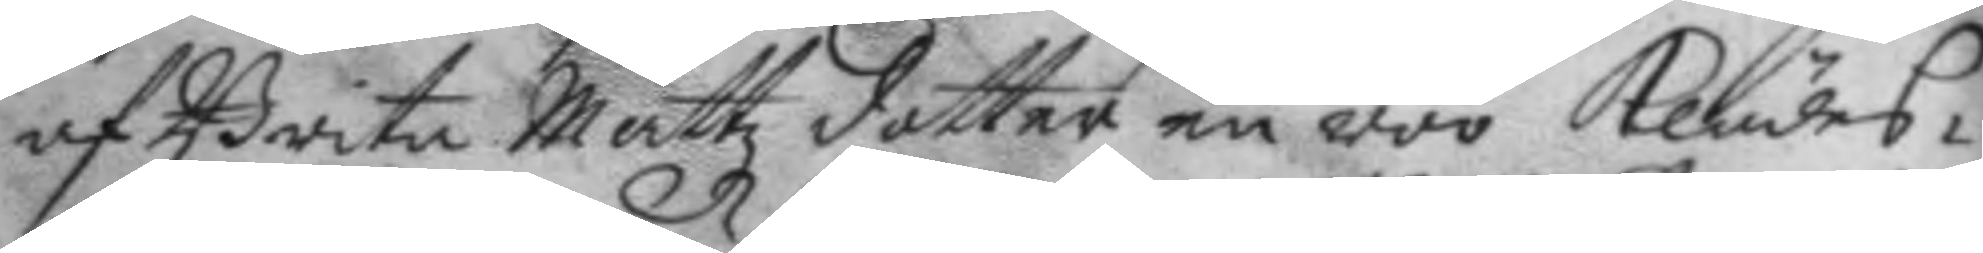af Brita Mattz dotter en röö klädes¬
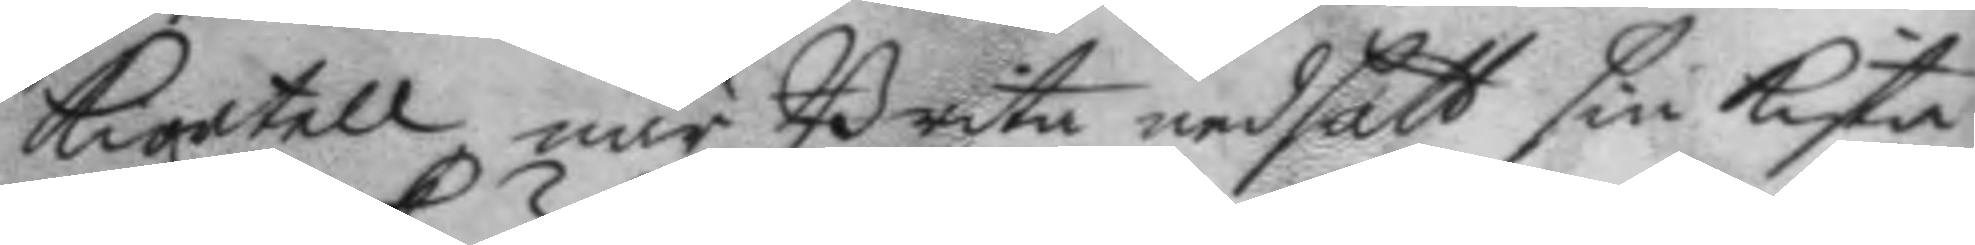kiortell när Brita nedsatt sin kista
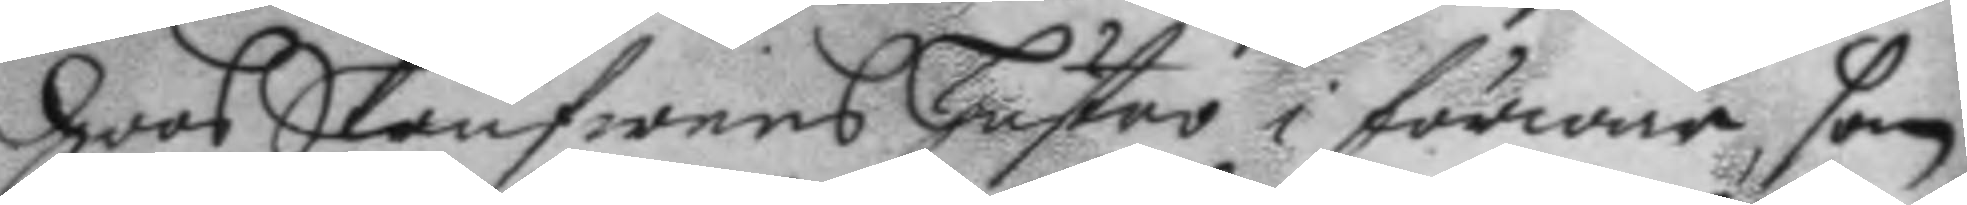hoos Skrufwens hustro i förwar, som
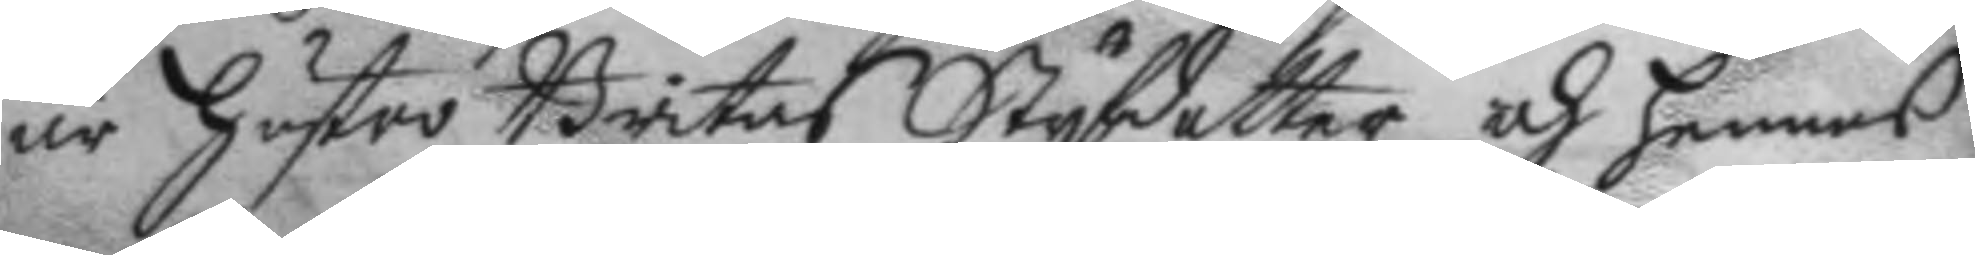är hustro Britas Styfdotter och hennes
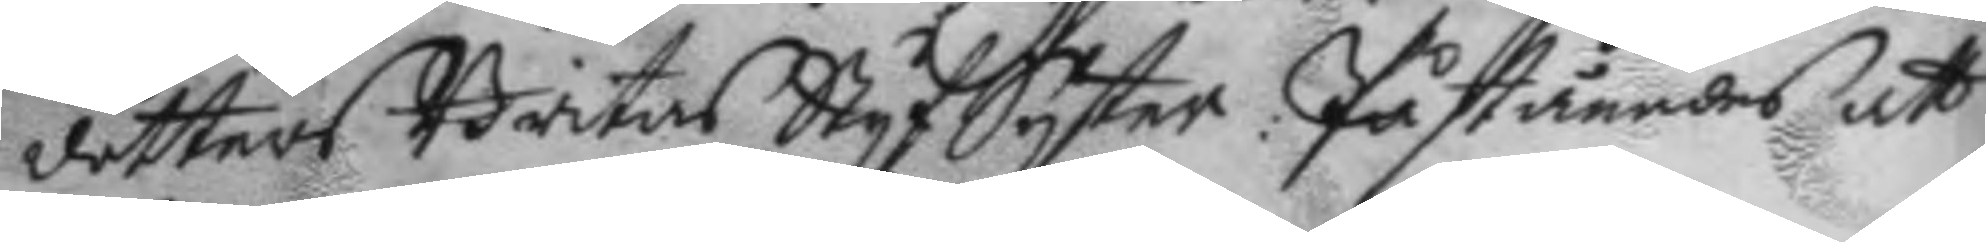dotters Britas Styf Syster: Påståendes att
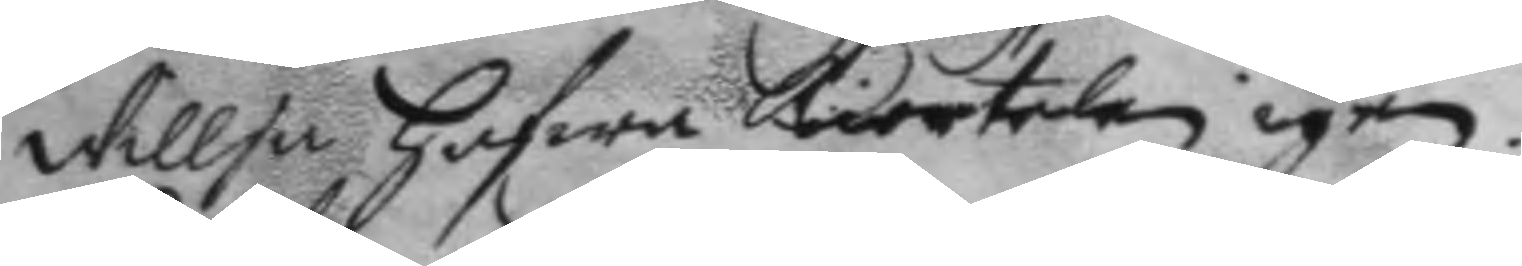Willja hafwa kiortelen igen.
